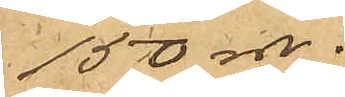150 rdr.
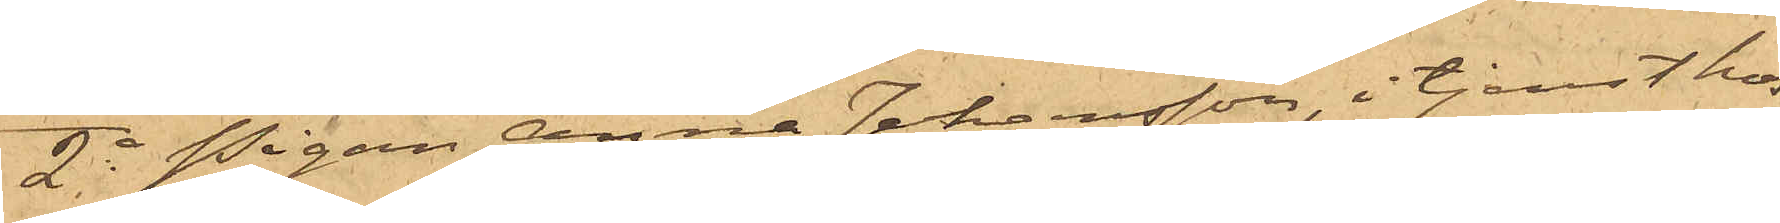2o Pigan Anna Johansson, i tjenst hos
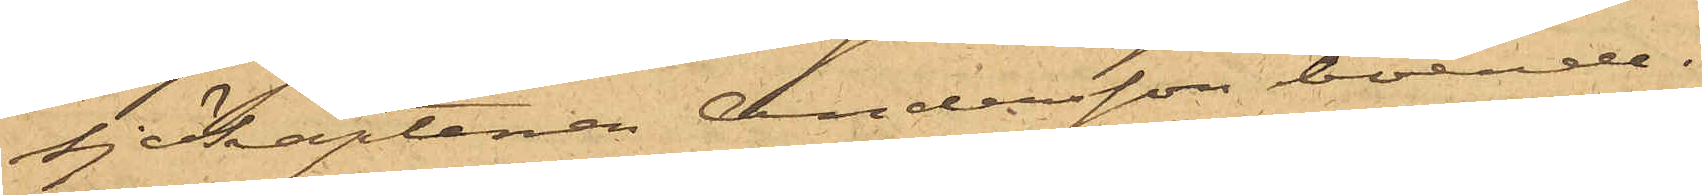sjökaptenen Andersson boende i
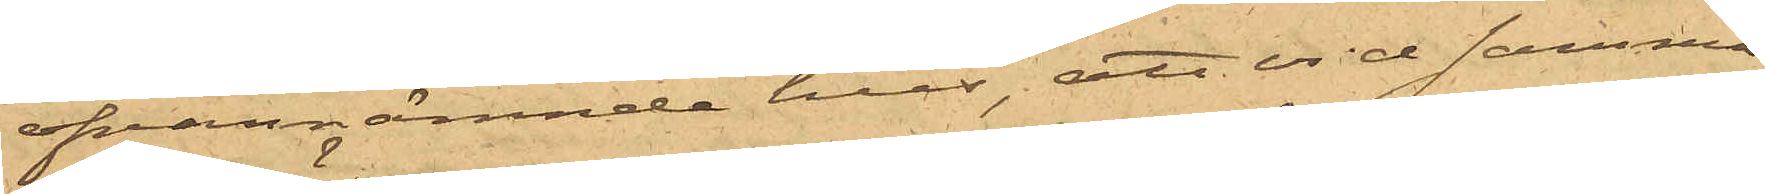ofvannämnde hus, att vid samma
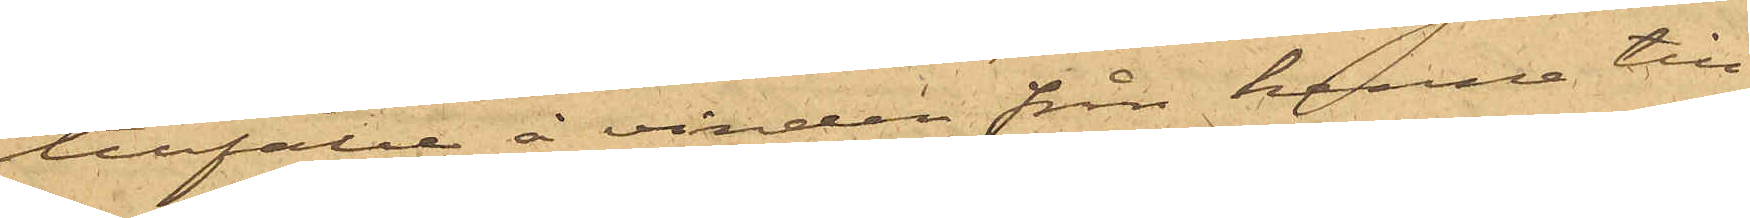tillfälle å vinden från henne till¬
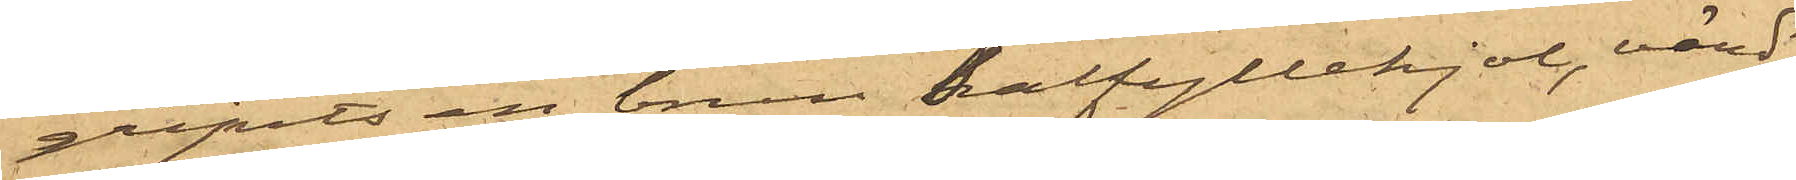gripits en brun halfyllekjol, värd
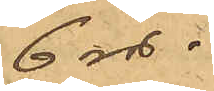6 rdr.
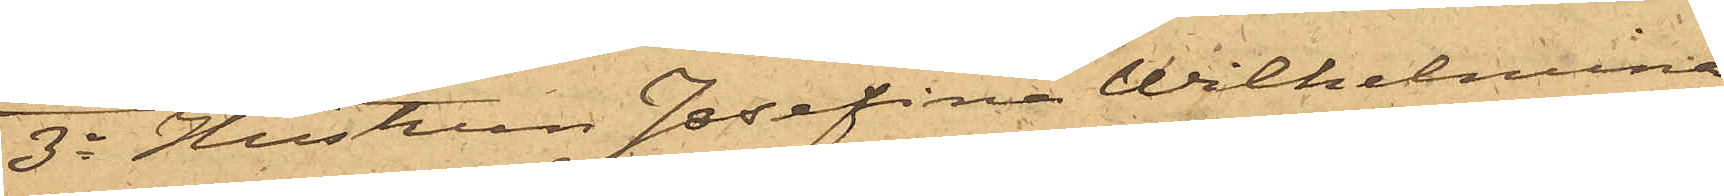3o Hustrun Josefina Wilhelmina
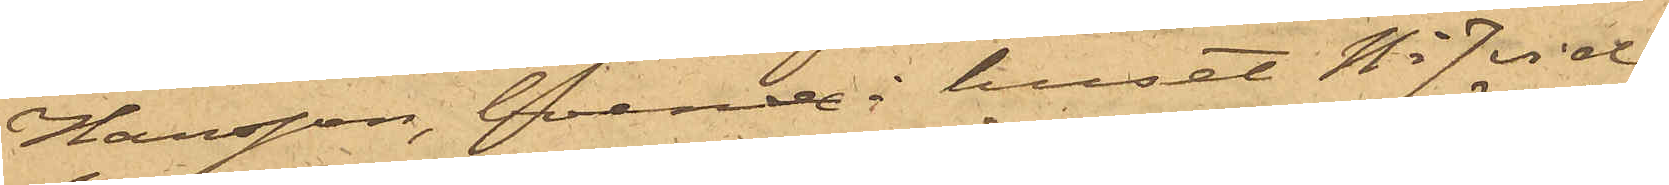Hansson, boende i huset No 7 vid
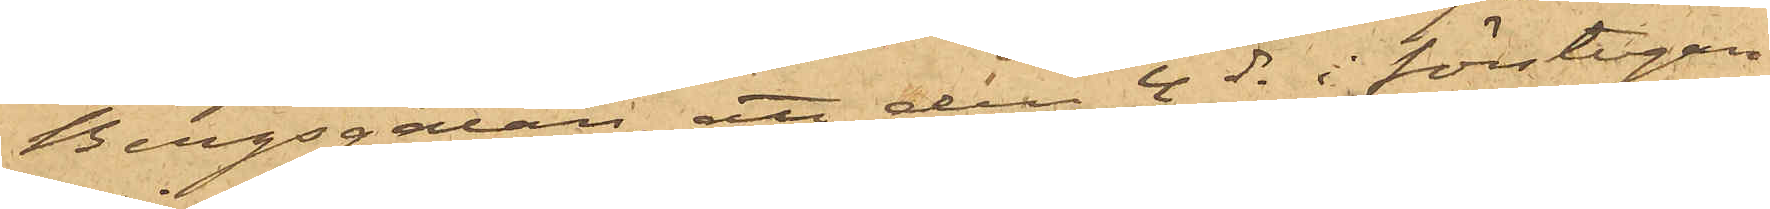Bergsgatan, att den 4 ds i förstugan
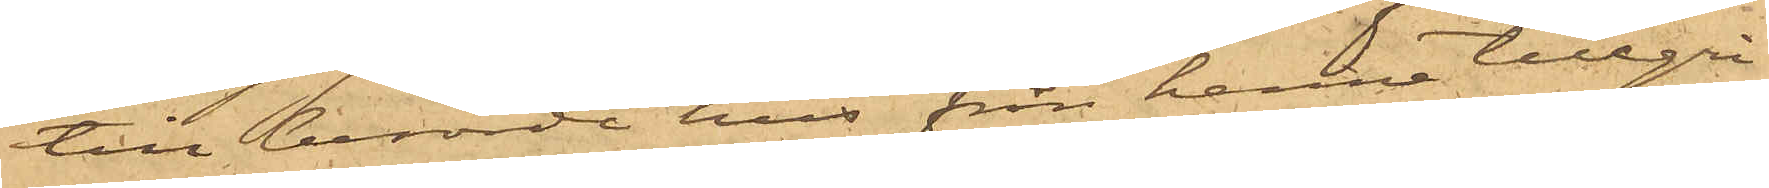till berörde hus från henne tillgri¬
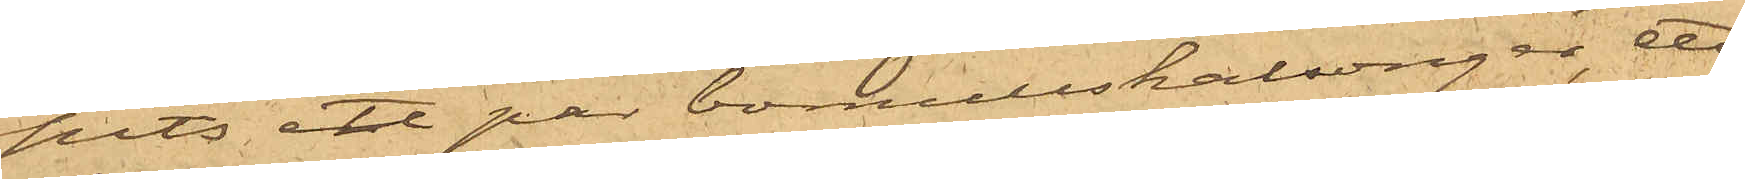pits ett par bomullskalsonger, ett
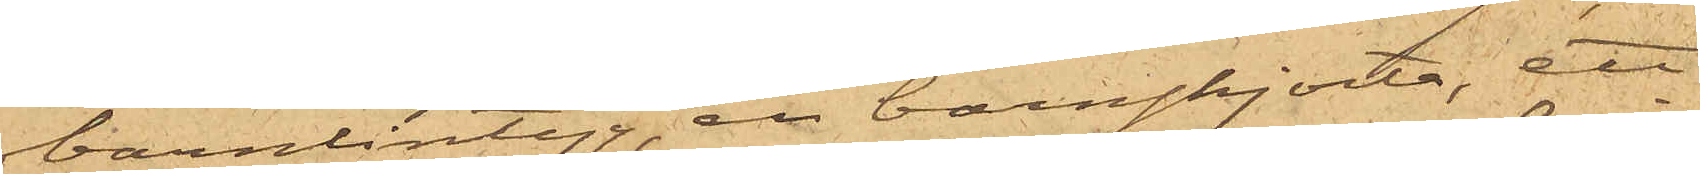barnlintyg, en barnskjorta, ett
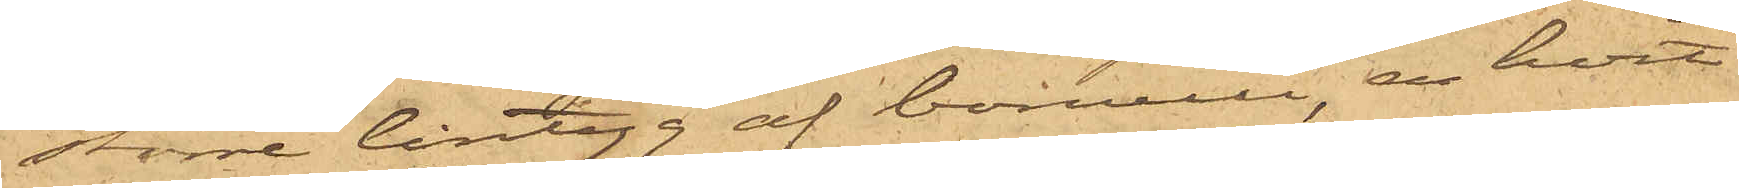större lintyg af bomull, en hvit
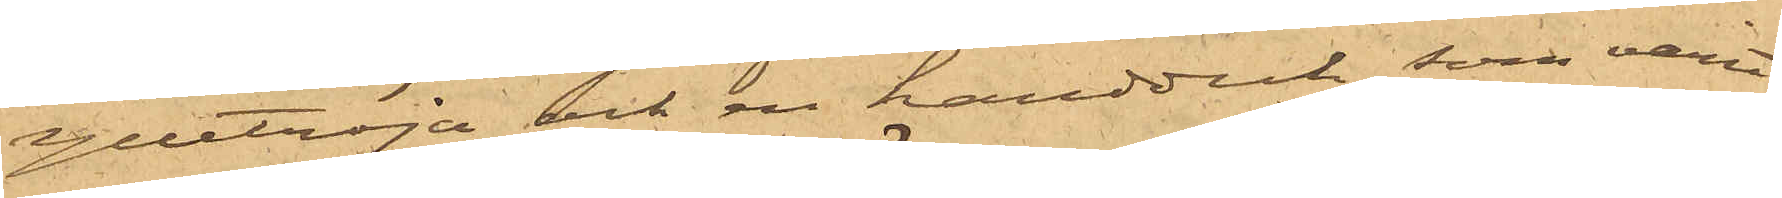ylletröja och en handduk, som varit
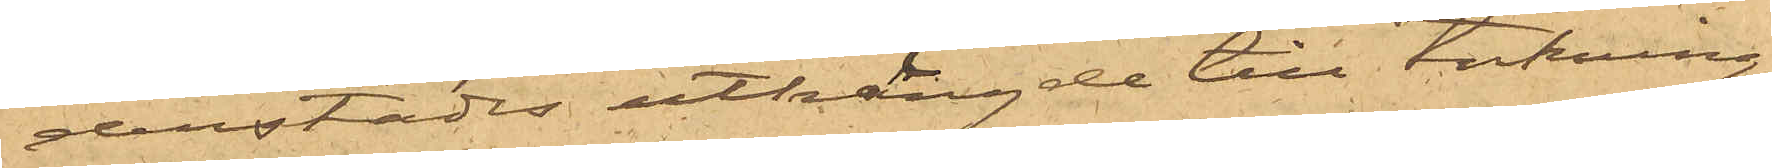derstädes uthängde till torkning;
